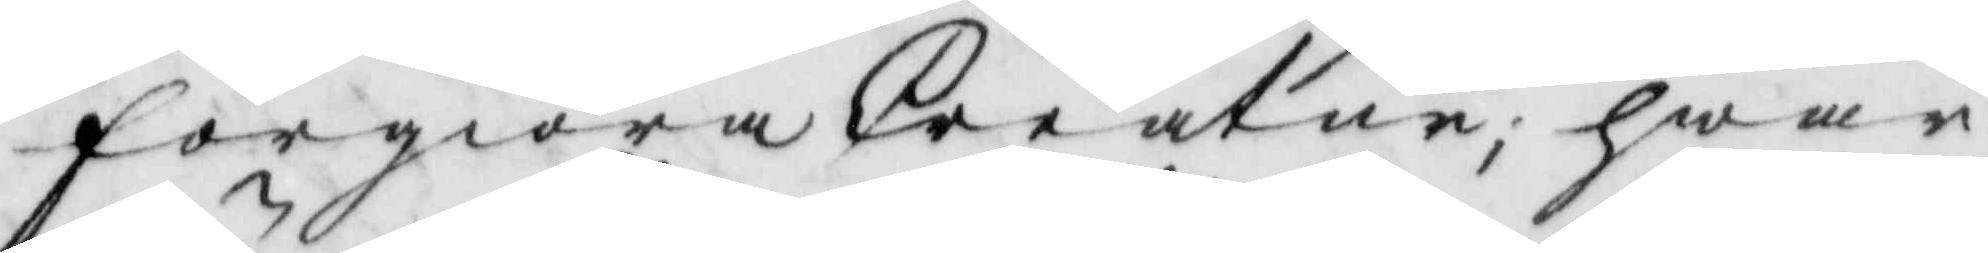förgiöra Creatur, hwar¬
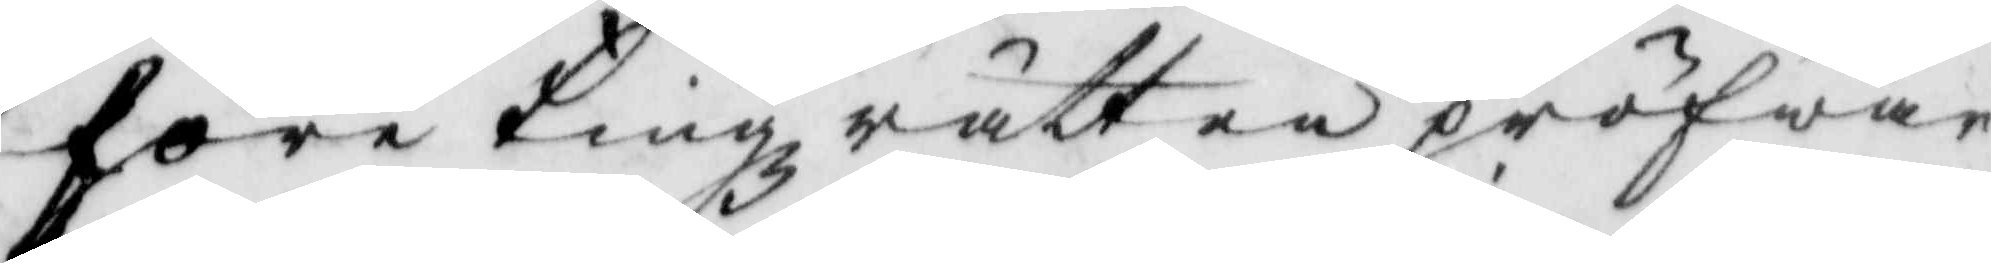före Tingzrätten åröfwar
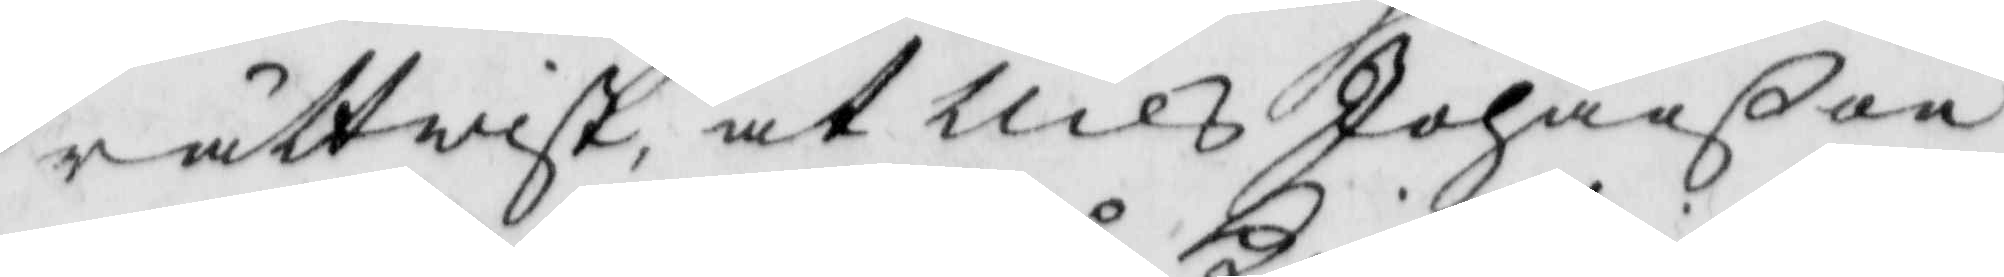rättwist, at Nils Johanßon
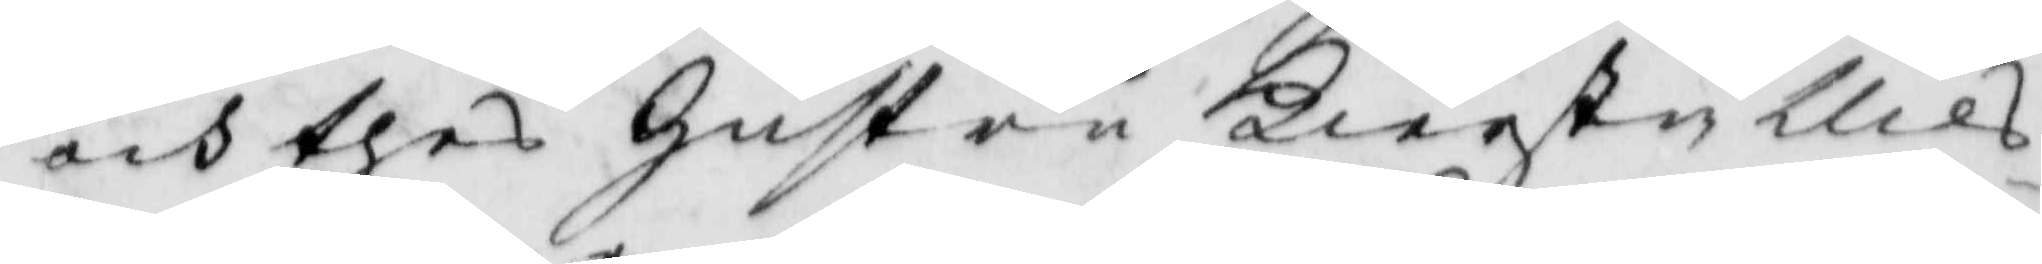och thes hustru Kierstin Nils¬
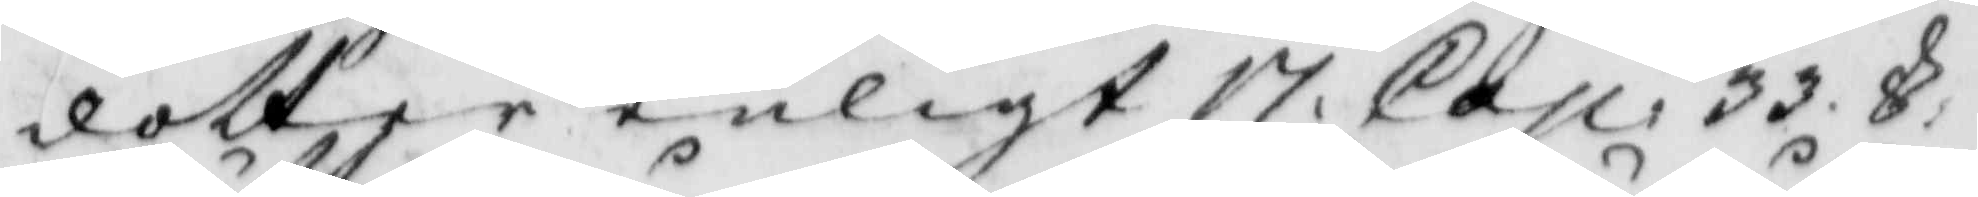dotter enligt 17. Cap. 33. §
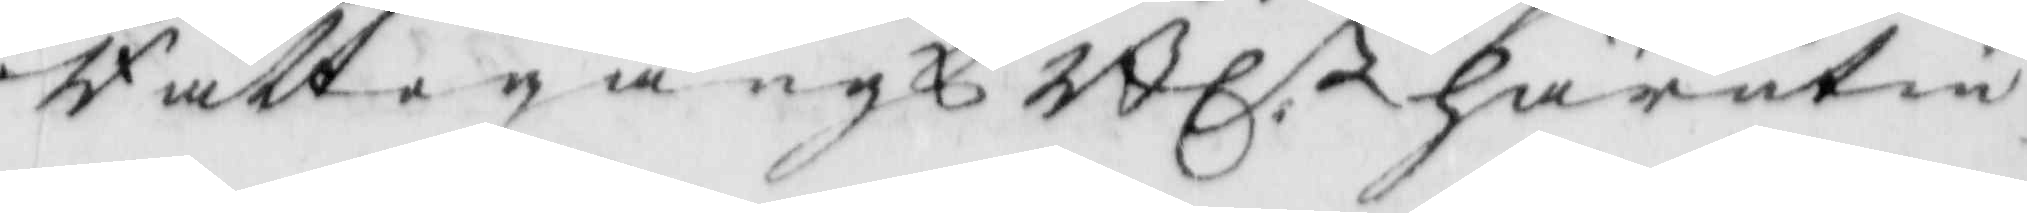Rättegångs Bl.n härutin
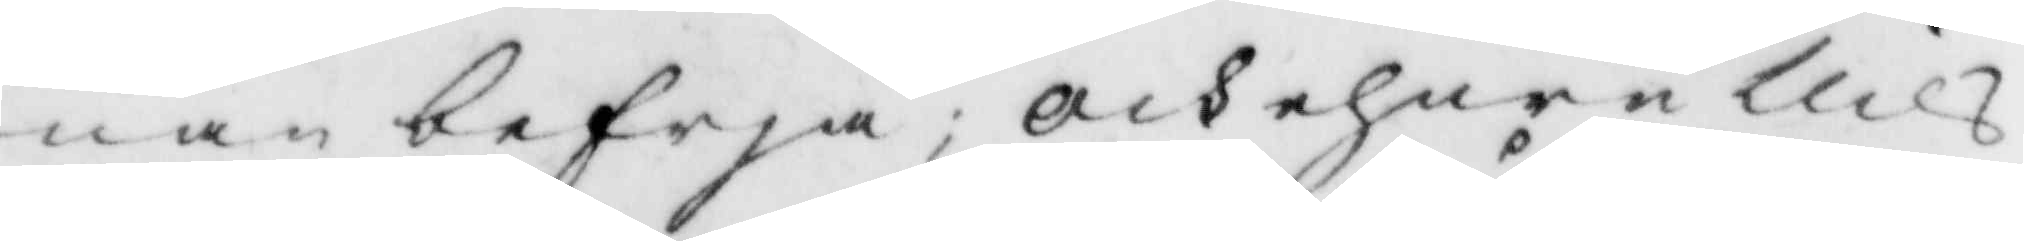nan befrja; och ehuru Nils
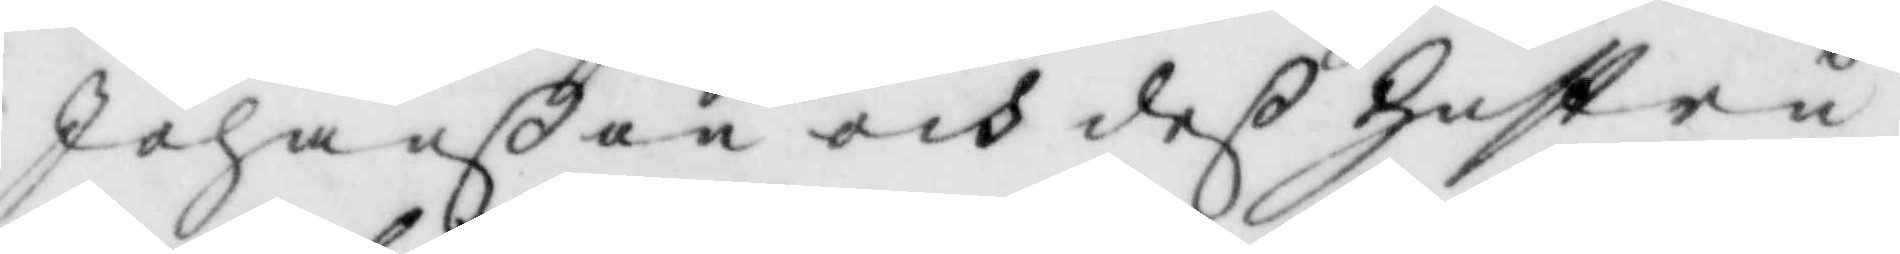Johanßon ich deß hsutru
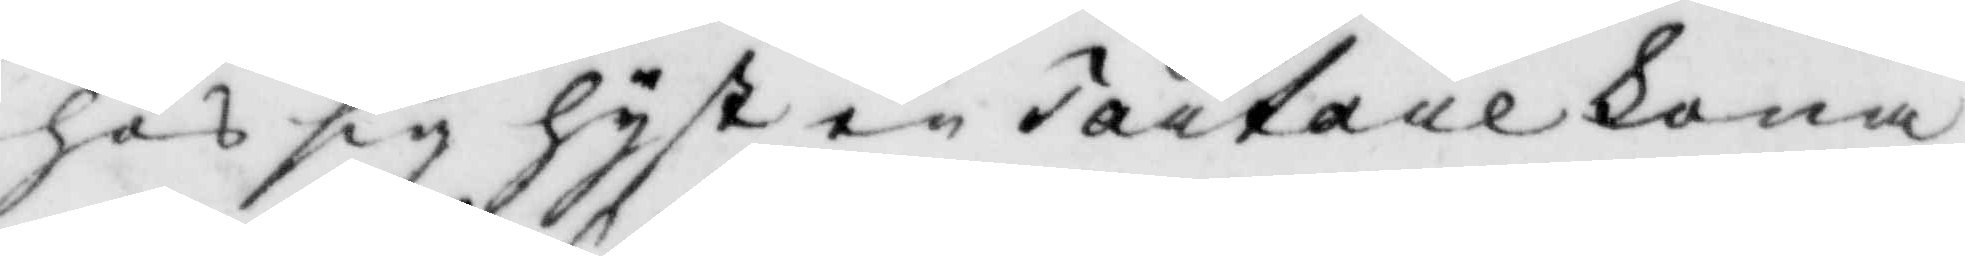hos sig hyst en Tartare kona
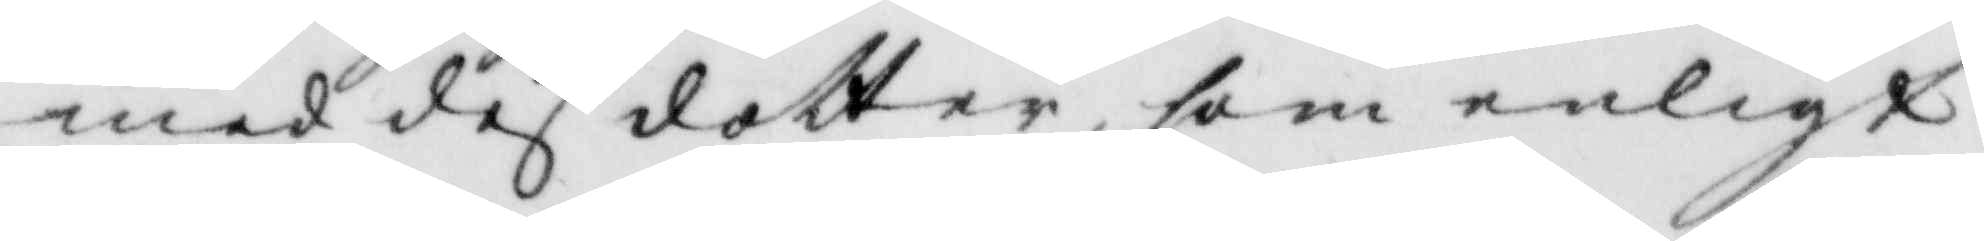med des dotter, som enligt
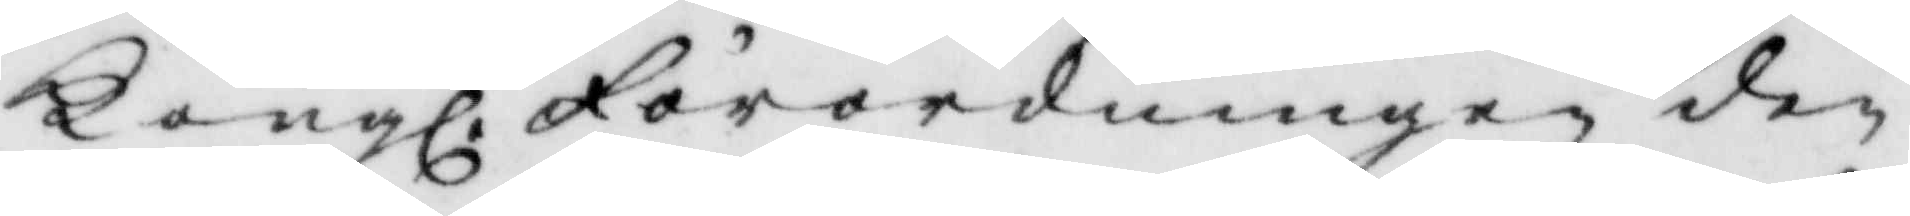Kongl. Förordningen den
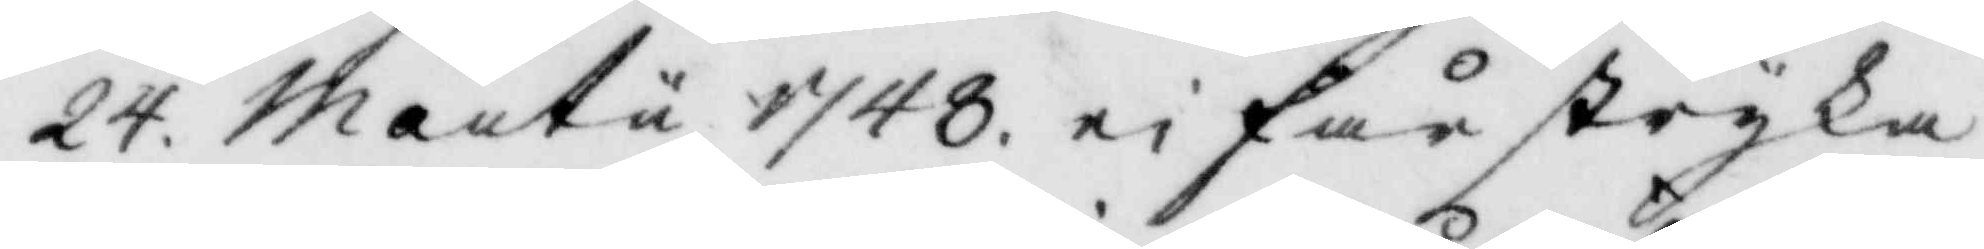24. Martu 1748 ei får stryka
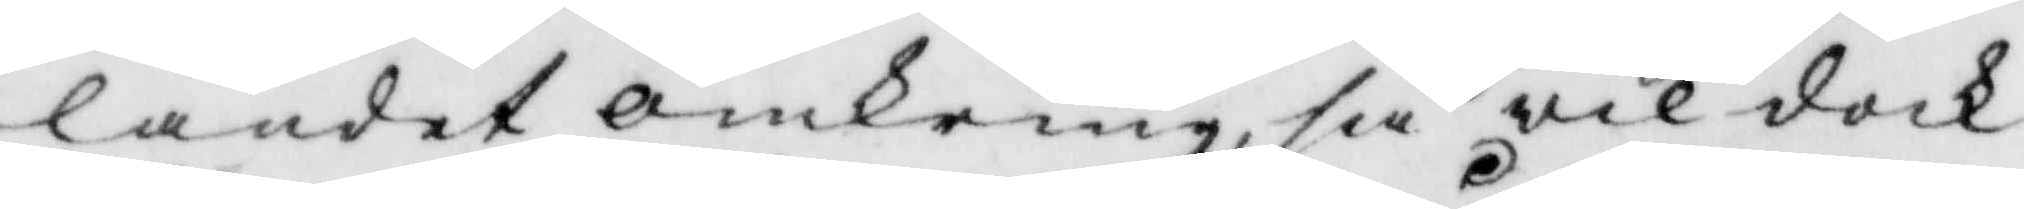landet omkring, så wil dock
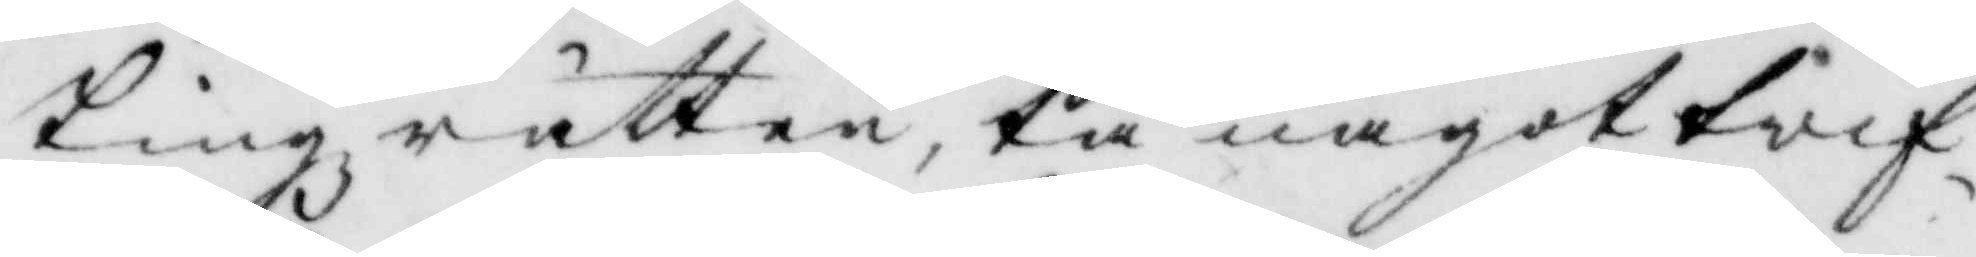Tingsrätten, tå något twil¬
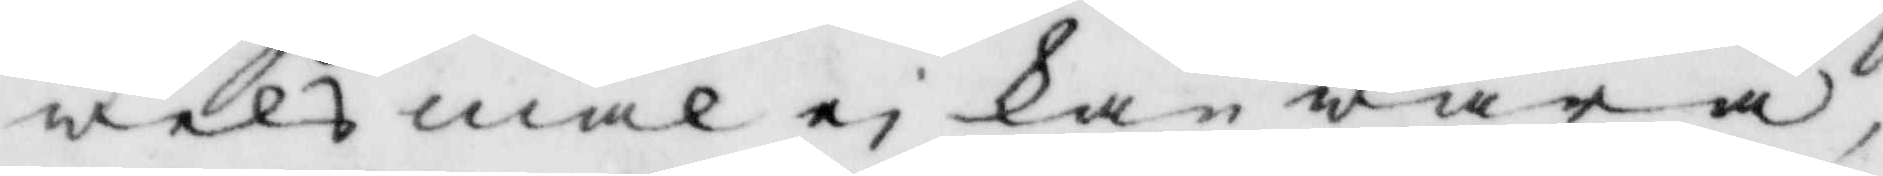welsmål ei kan wara
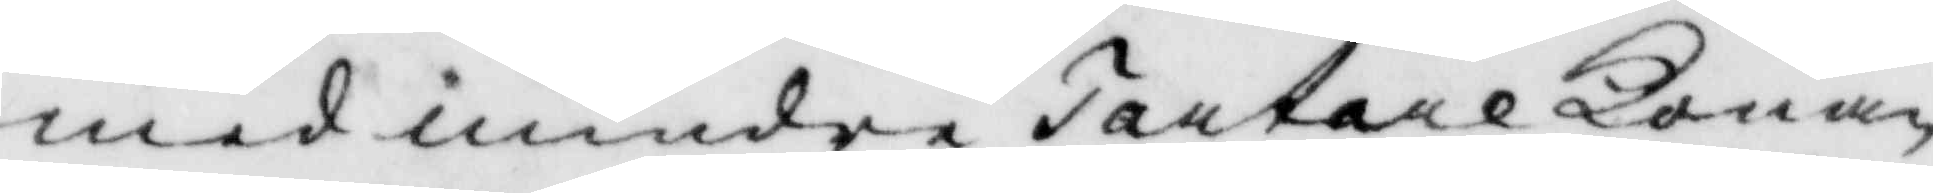med mindre Tartare Konan
